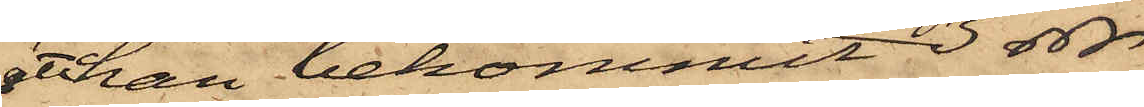att han bekommit 3 rdr
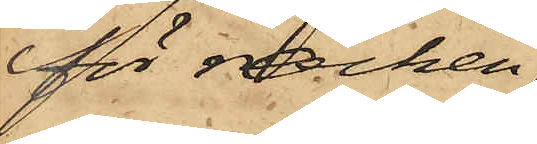för rocken
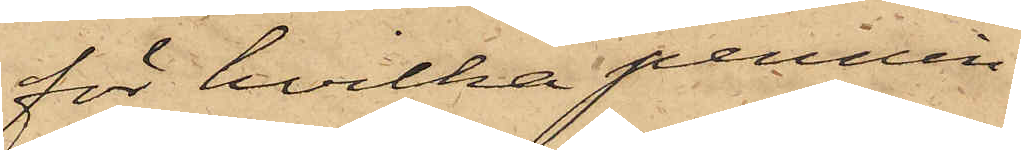för hvilka pennin¬
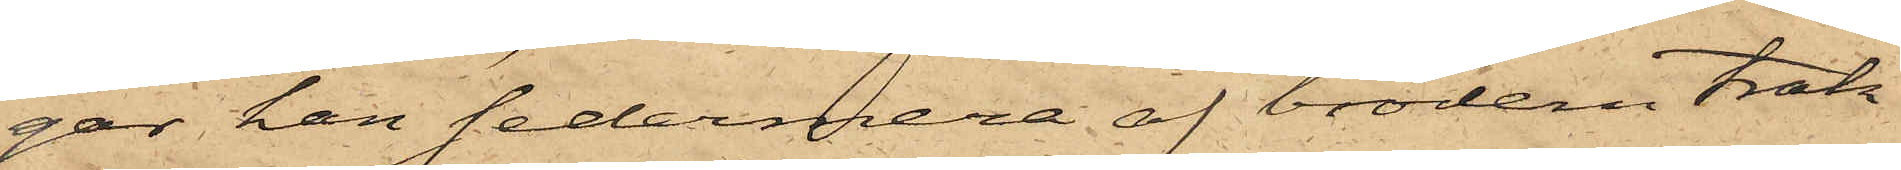gar han sedermera af brodern trak¬
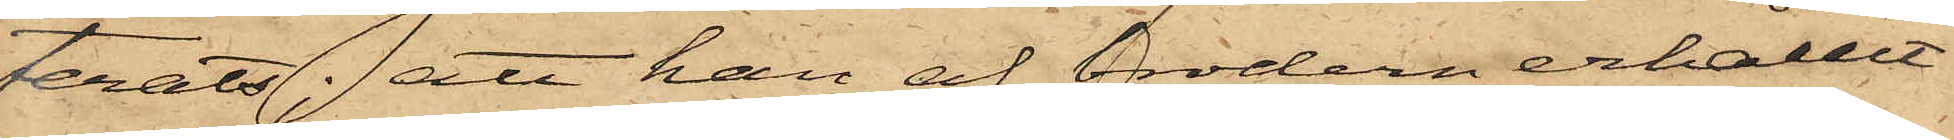terats; att han af brodern erhållit
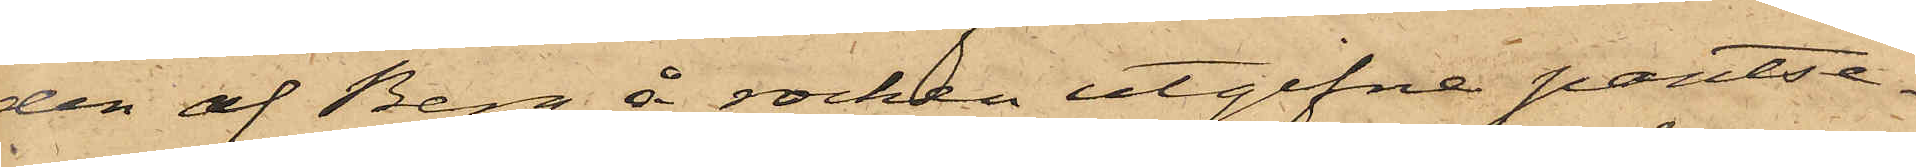den af Berg å rocken utgifne pantse¬
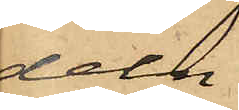deln
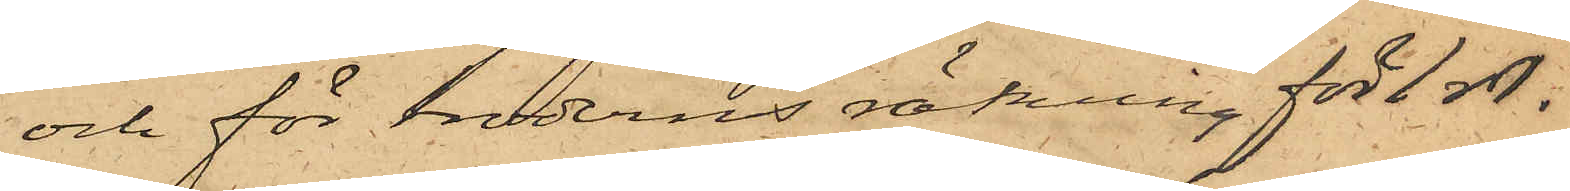och för broderns räkning för 1 rdr.
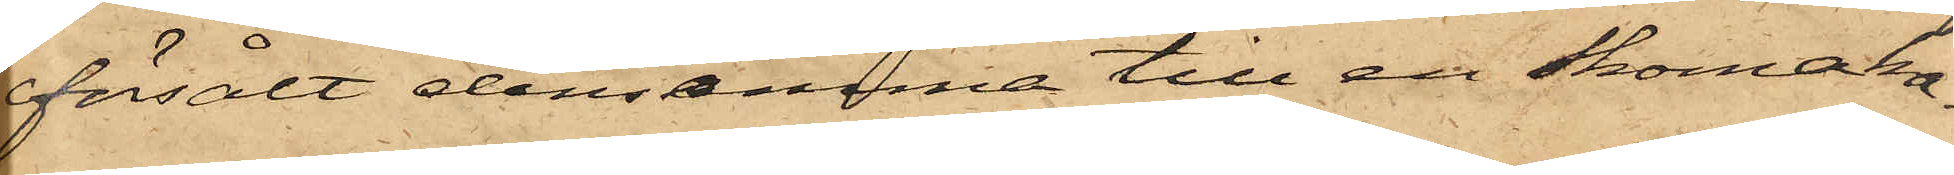försålt densamma till en skomaka¬
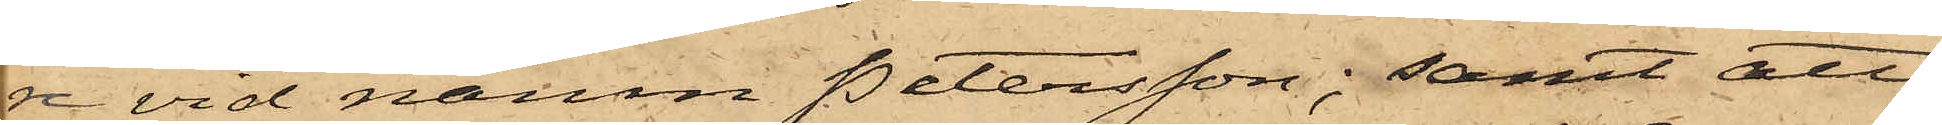re vid namn Petersson; samt att
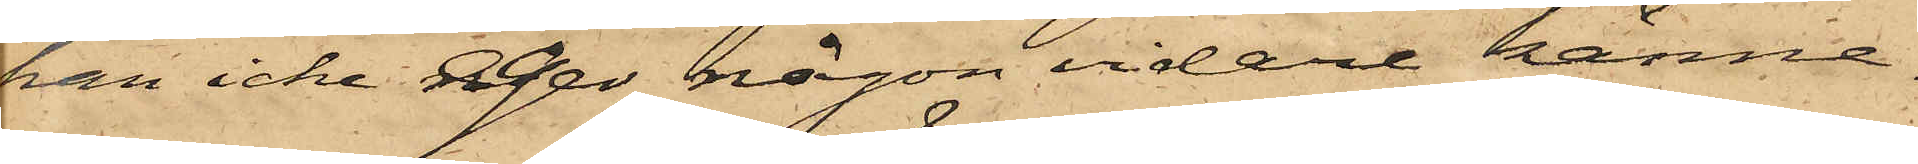han icke eger någon vidare känne¬
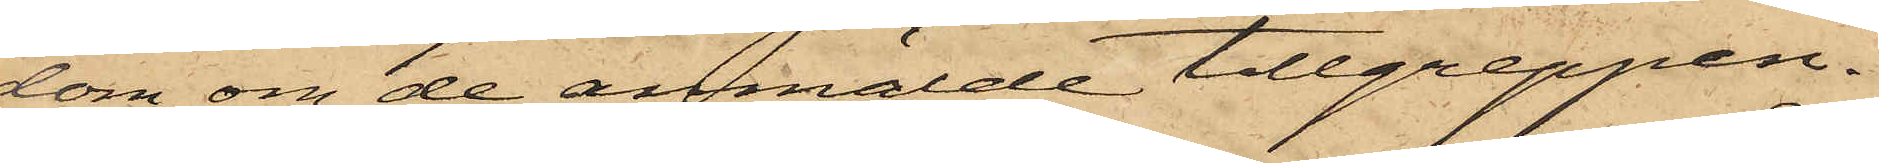dom om de anmälde tillgreppen.
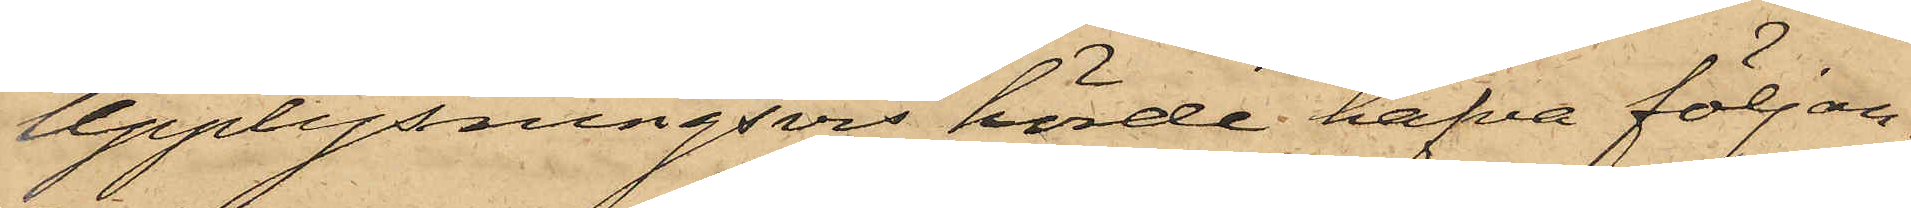Upplysningsvis hörde hafva följan¬
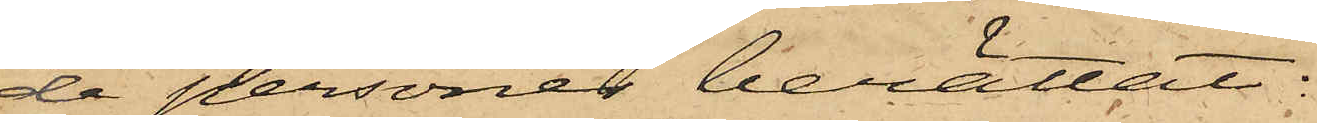de personer berättat:
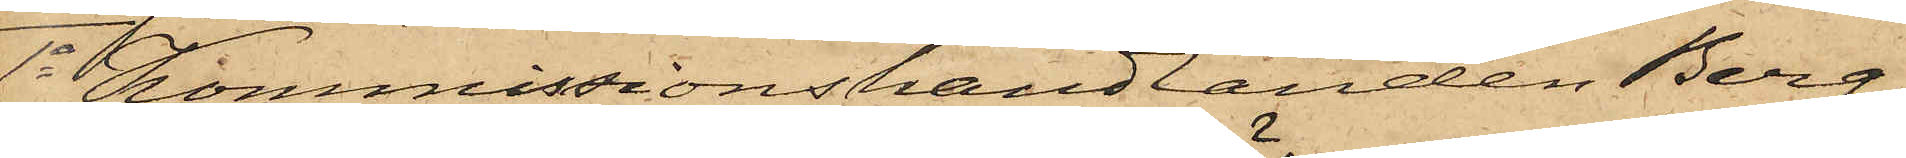1o Kommissionshandlanden Berg,
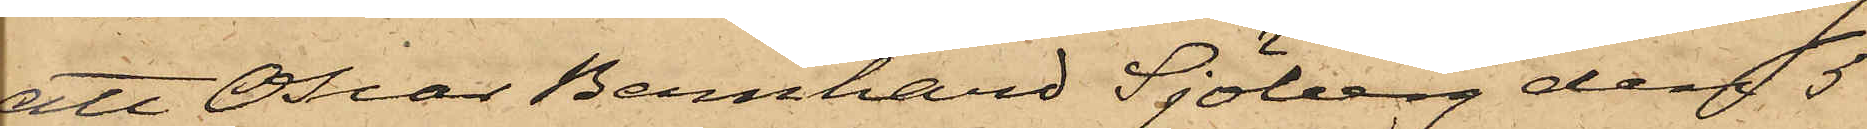att Oscar Bernhard Sjöberg den 5
